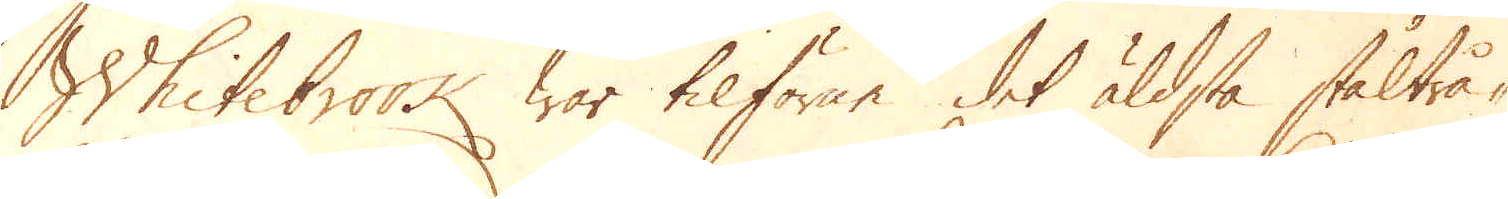Whitebrook war tilförene det äldsta ståltrå-
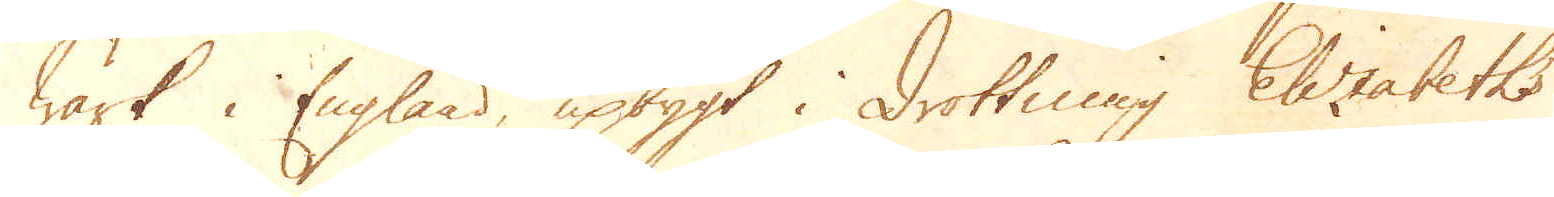Wärk i England, upbygt i drottning Elizabeths
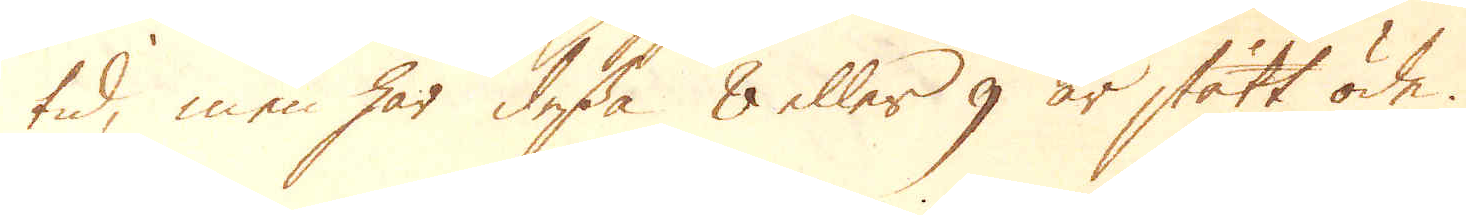tid, men har dessa 8 eller 9 år stått öde.
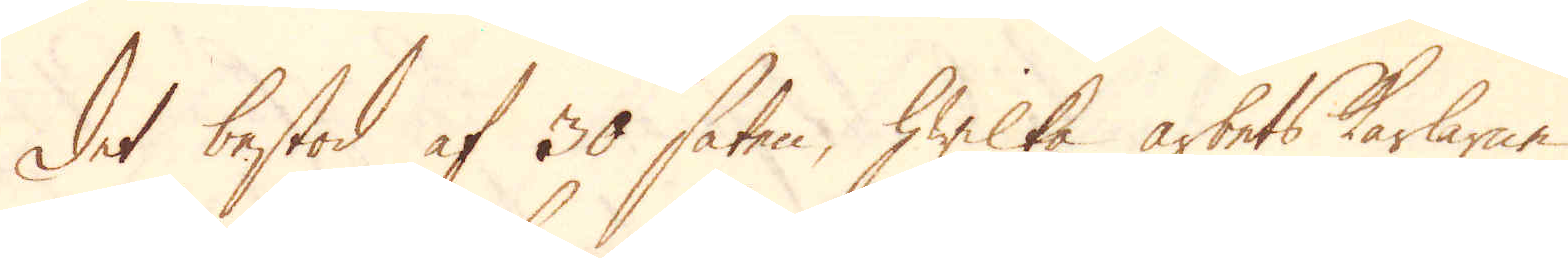Det bestod af 30 säten, hwilka arbetskarlarne
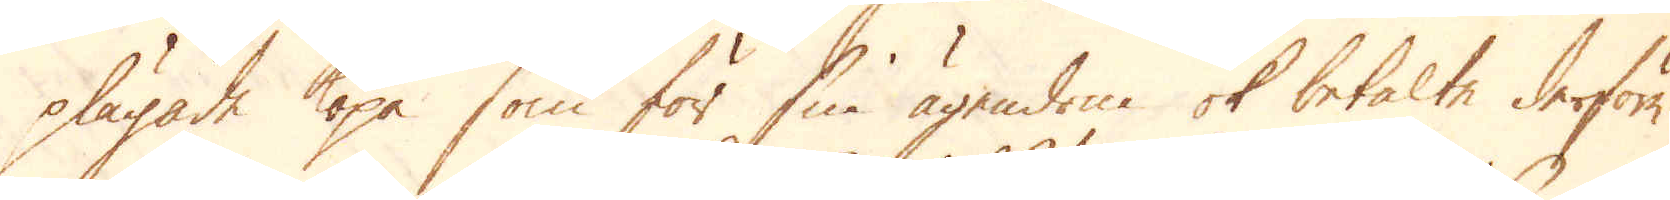plägade köpa som för sin ägendom ok betalte derföre
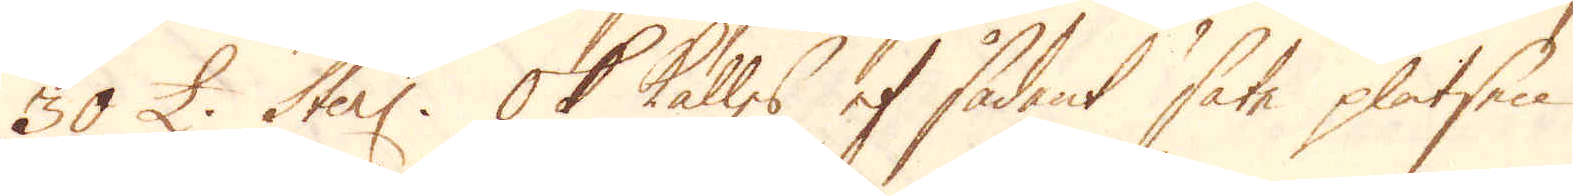30 £ Sterl. Ok kalles et sådant säte platsen
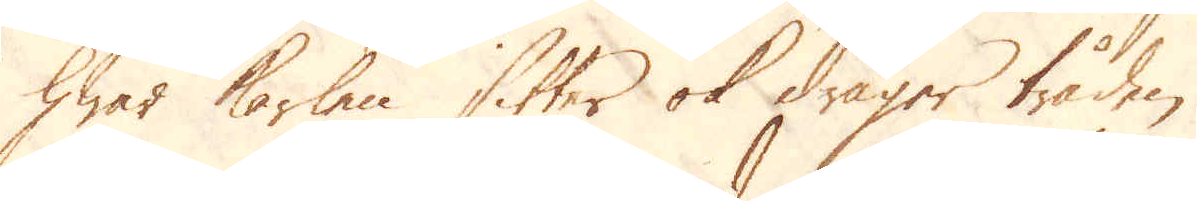hwar karlen sitter ok drager tråden.
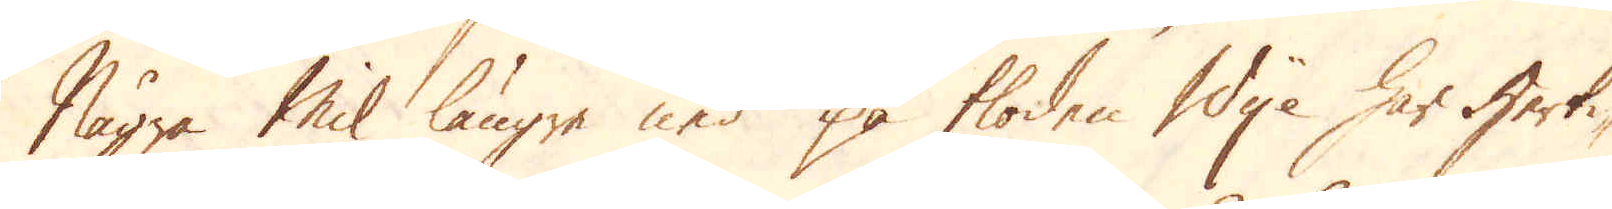Några Mil längre ned på floden Wye har Herti-
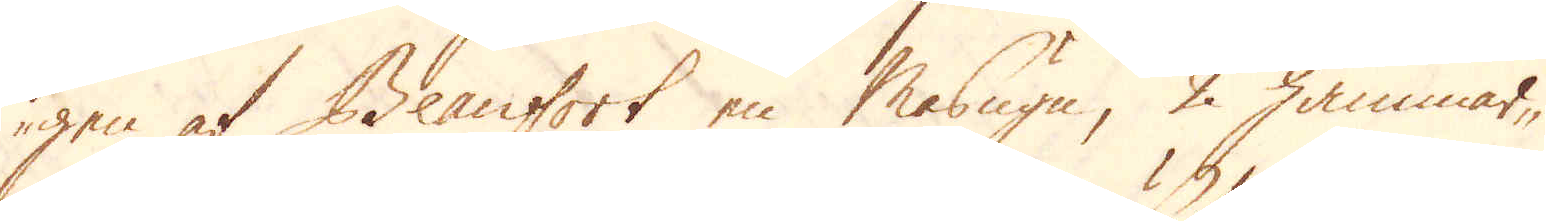gen af Beanfort en Masugn, 2 hammar-
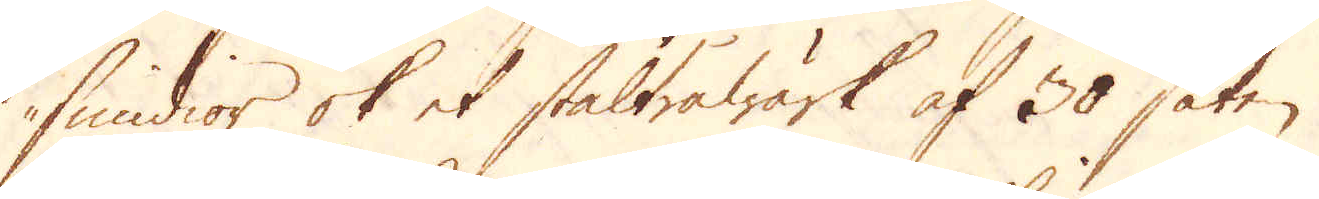smidior ok et ståltråwärk af 30 säten.
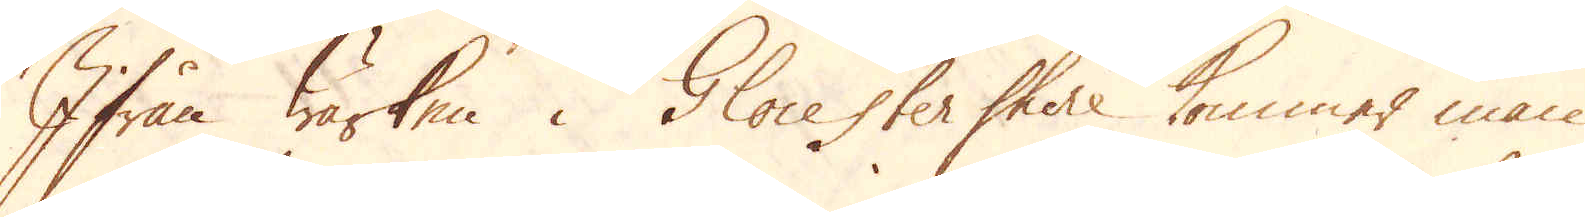Ifrån Wärken i Glocester shire kommer man
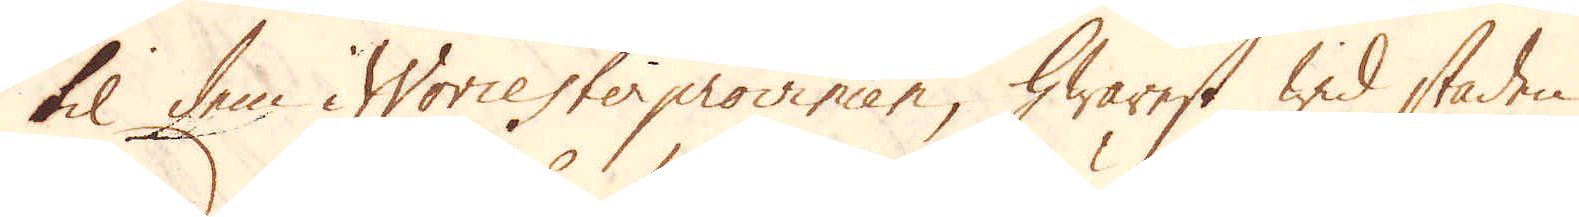til dem i Worcesterprovincen, hwarest wid staden
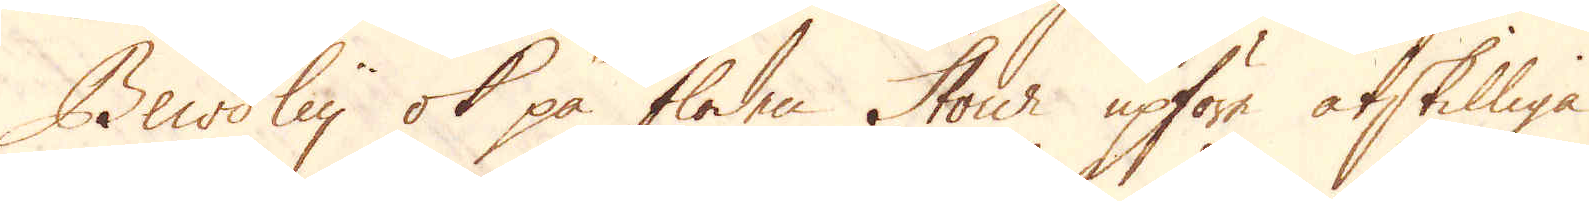Bewdley ok på floden Stour upföre åtskilliga
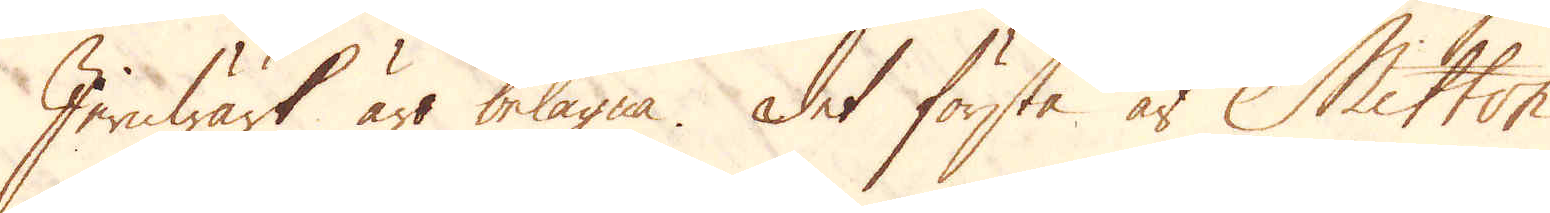Jernwärk äro belägna. Det första är Milton
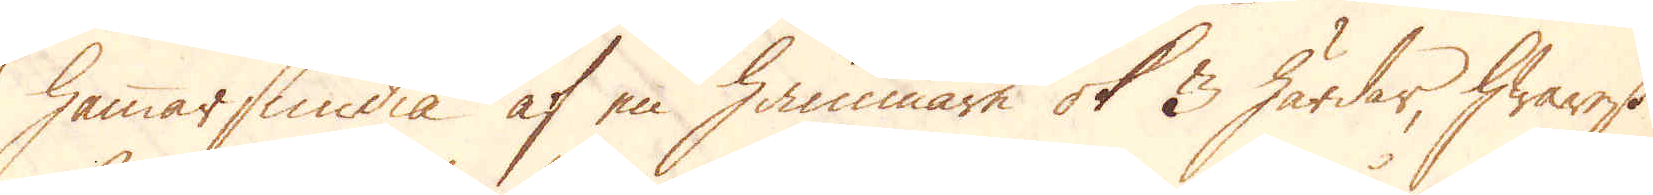hammarsmidia af en hammare ok 3 härdar, hwarest
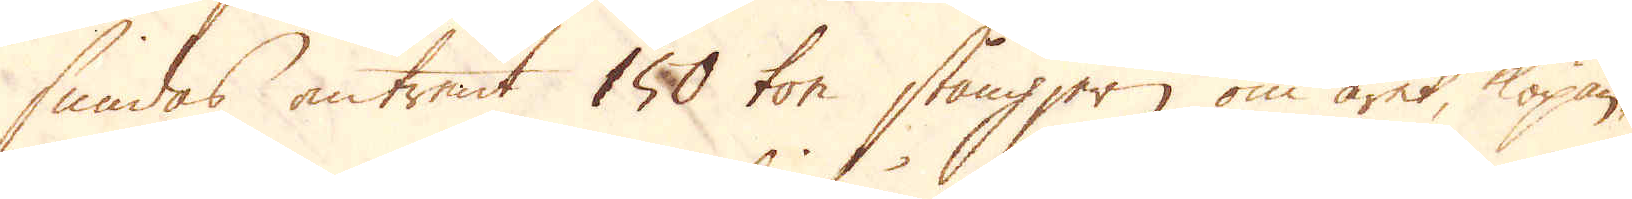smidas omtrent 150 ton stångjern om året, köpan-
